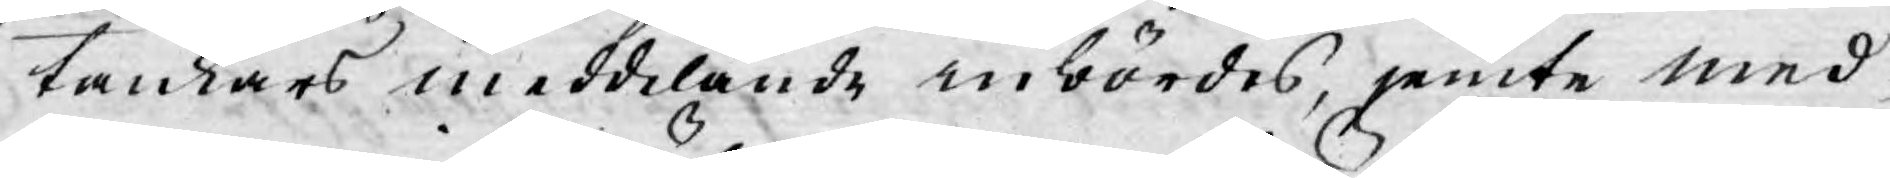tankars meddelande inbördes, jemte med¬
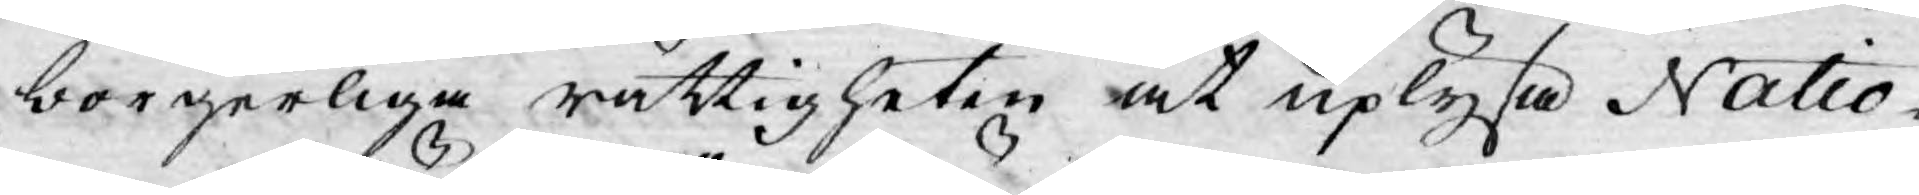borgerliga rättigheten at uplysa Natio¬
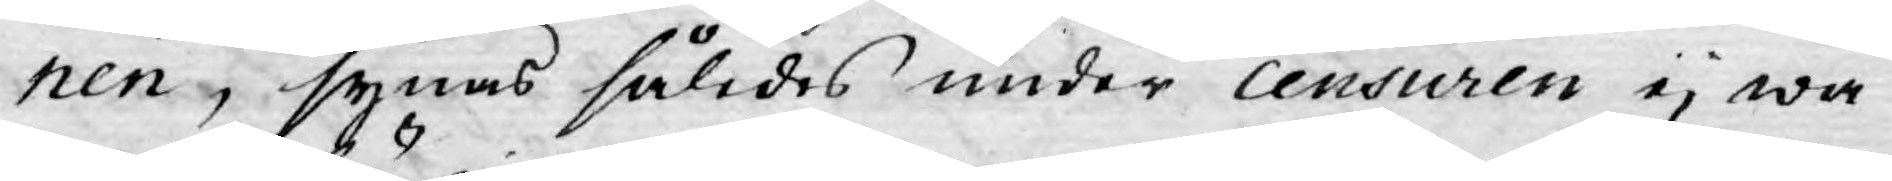nen, synas således under censuren ej wa¬
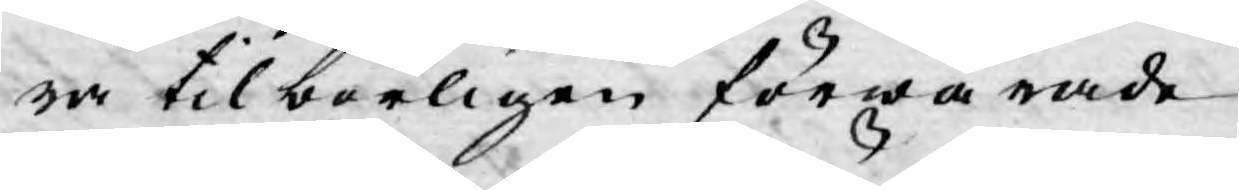ra tilbörligen förwarade.
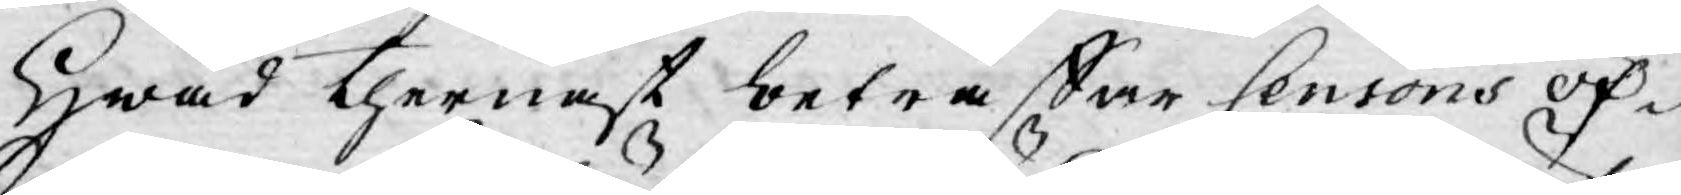Hwad thernäst beträffar Censoris öf¬
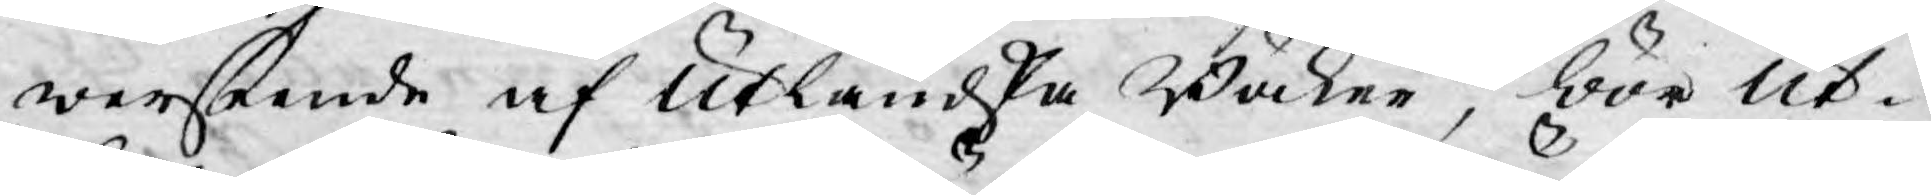werseende af Utländska Böcker, bör Ut¬
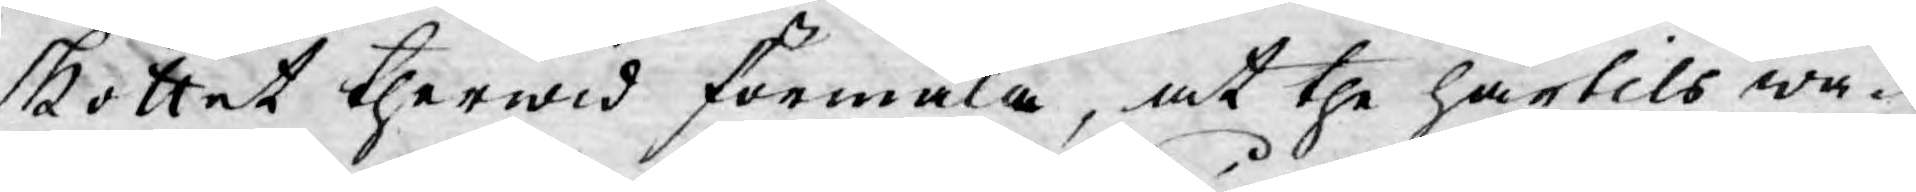skottet therwid förmäla, at the härtils wa¬
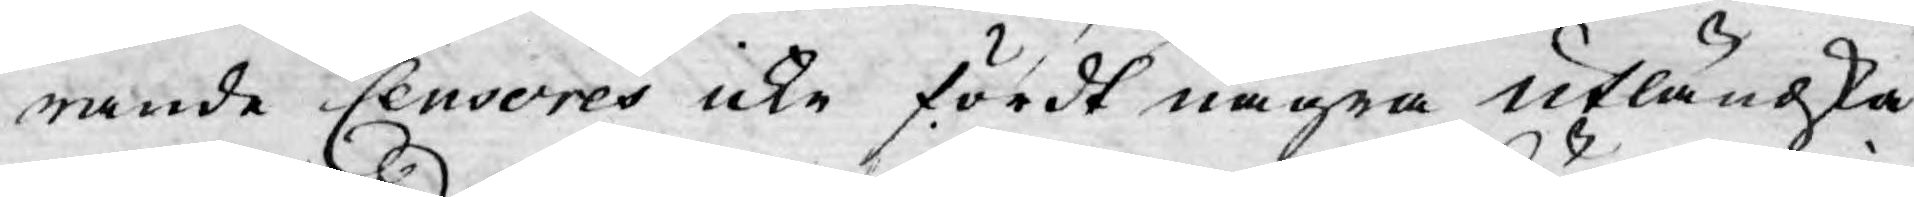rande Censores icke fördt några utländska
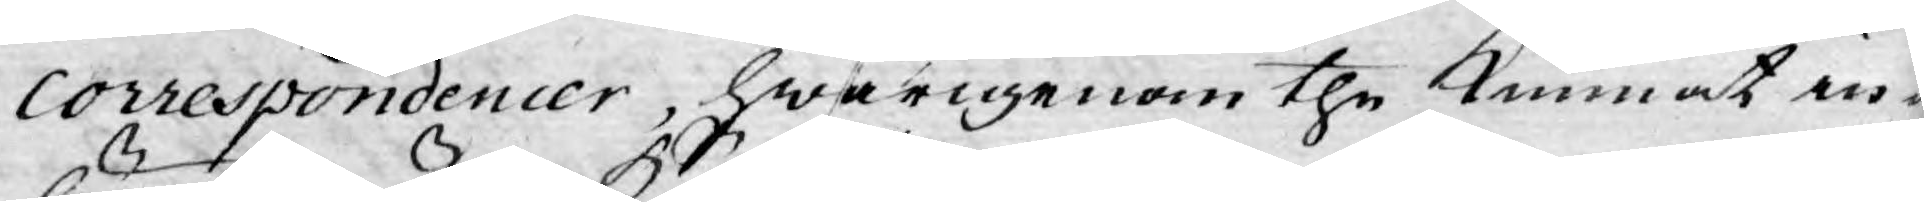correspondencer, hwarigenom the kunnat in¬
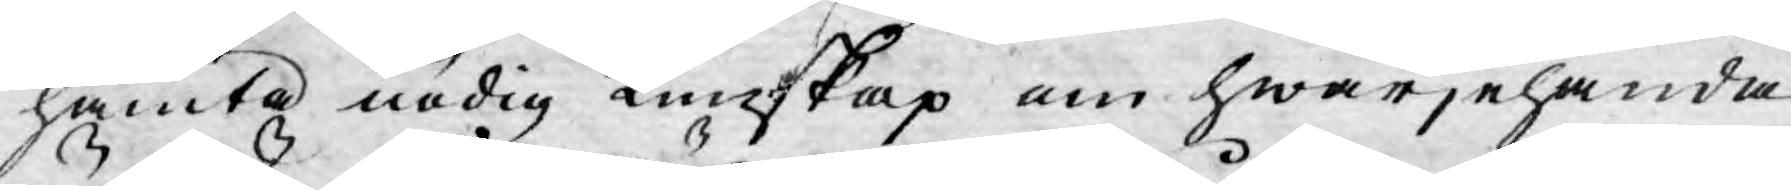hämta nödig kunskap om hwarjehanda
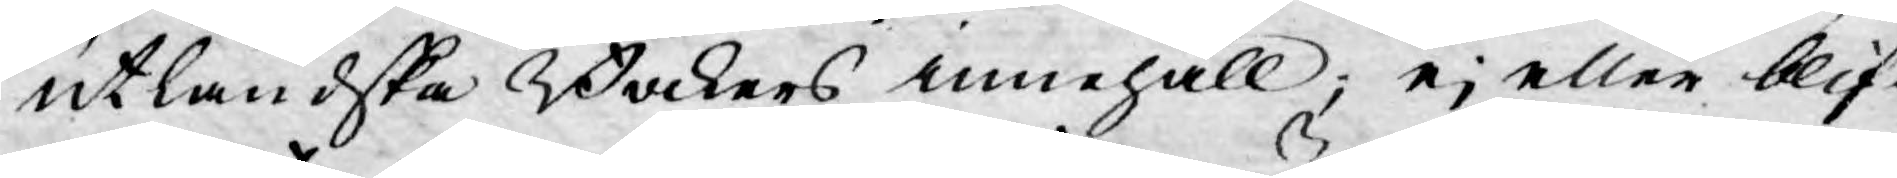utländska Böckers innehåll; ej eller blif¬
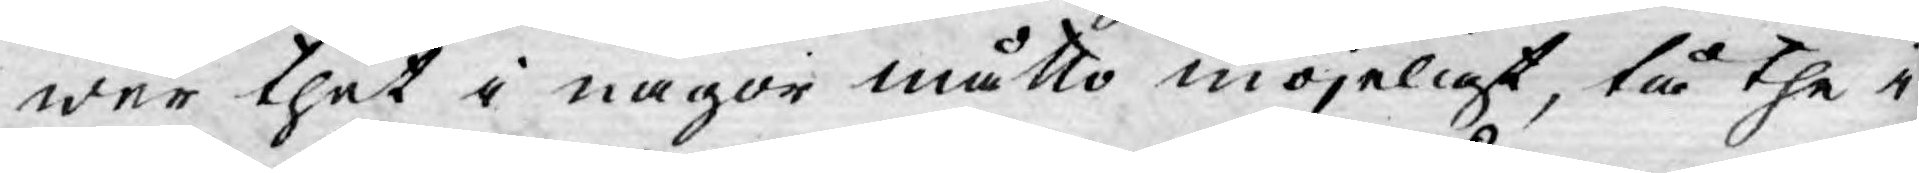wer thet i någor måtto möjeligt, tå the i
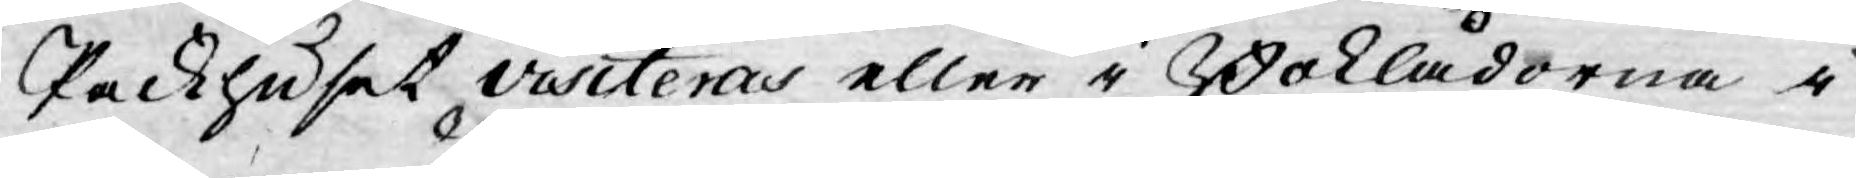Packhuset visiteras eller i Boklådorna i
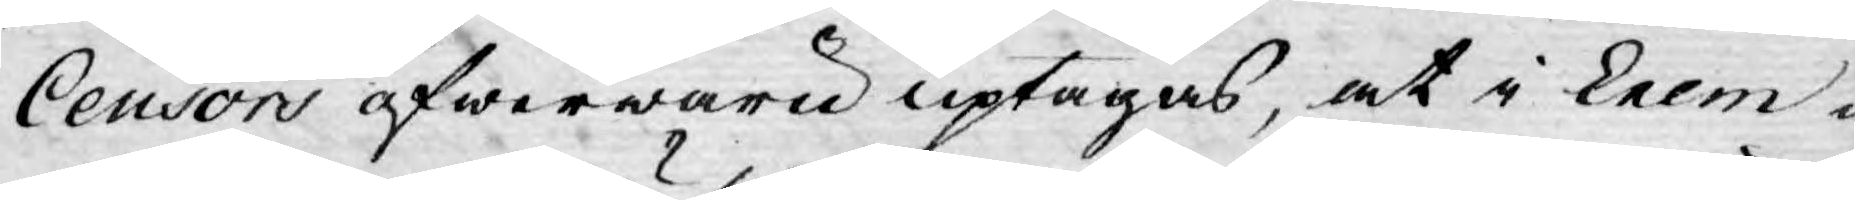Censors öfwerwaru uptagas, at i Exem¬
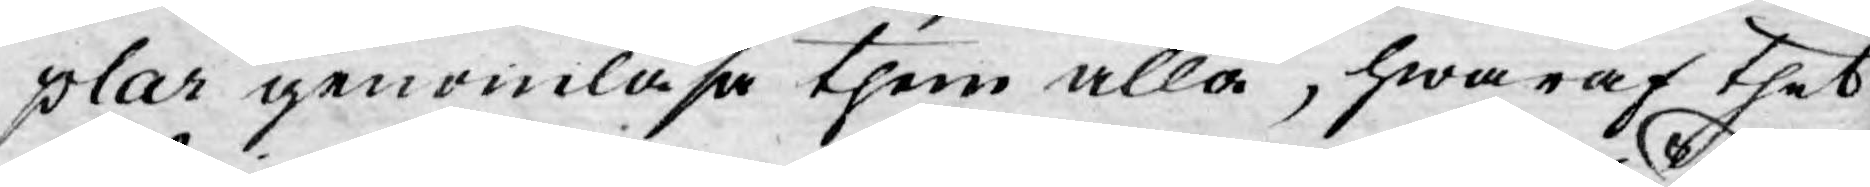plar genomläsa them alla, hwaraf thet
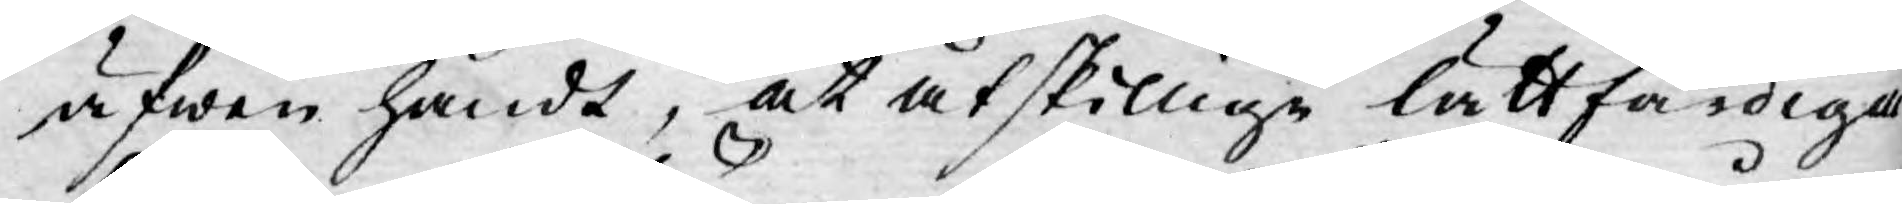äfwen händt, at åtskillige lättfärdiga
